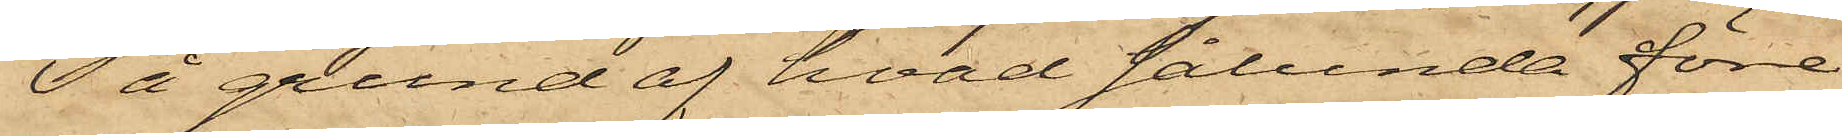På grund af hvad sålunda före¬
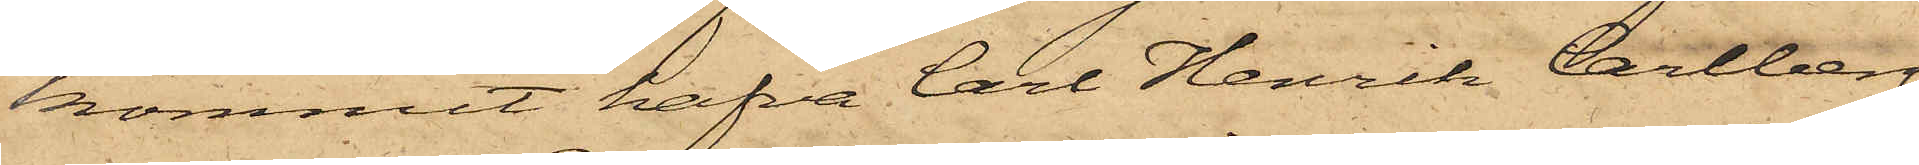kommit hafva Carl Henrik Carlberg
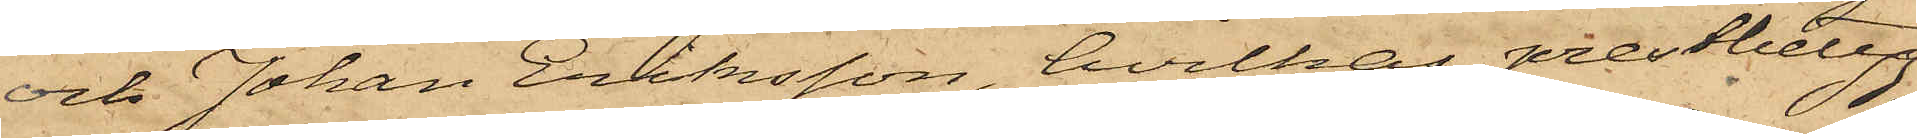och Johan Eriksson, hvilkas prestbetyg
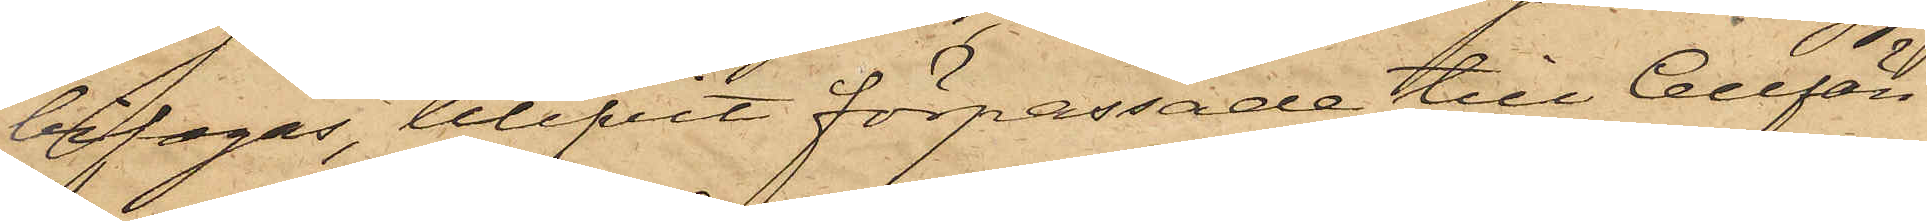bifogas, blifvit förpassade till Cellfän¬
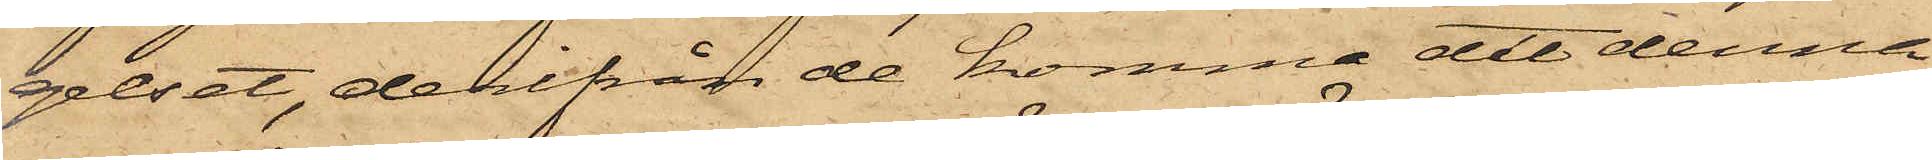gelset, derifrån de komma att denna
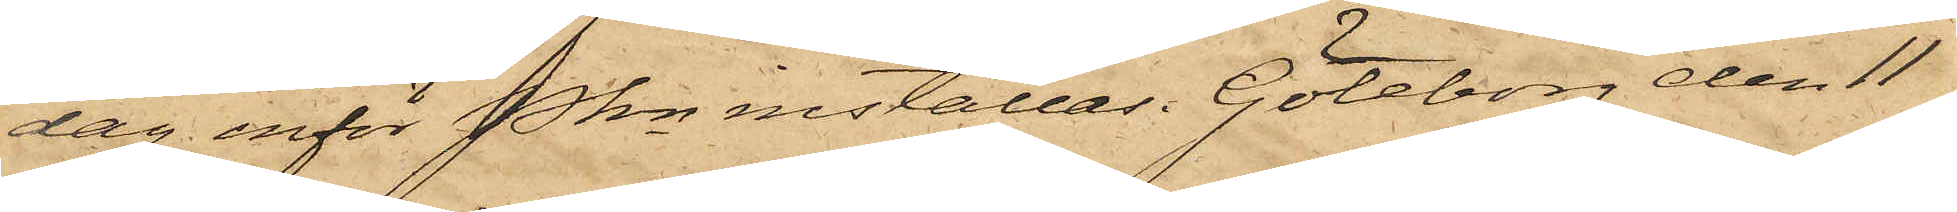dag inför Pkn inställas. Göteborg den 11
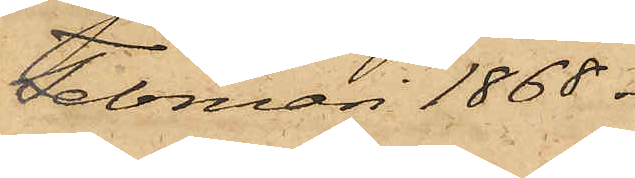Februari 1868.
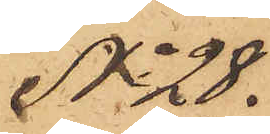No 28.
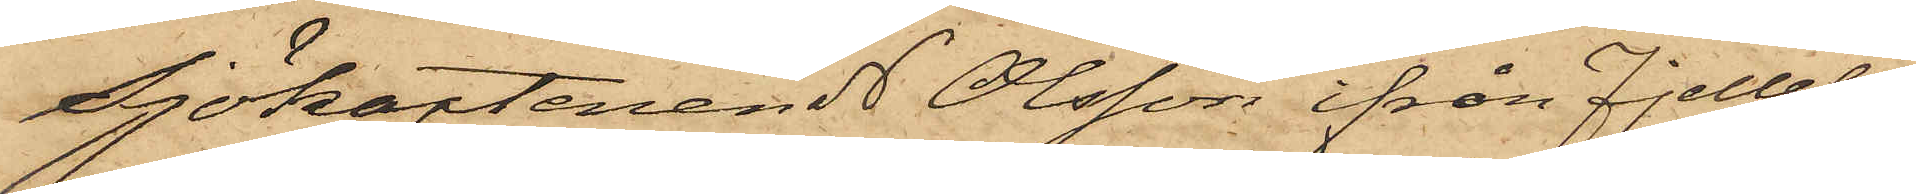Sjökaptenen N Olsson ifrån Fjellebo
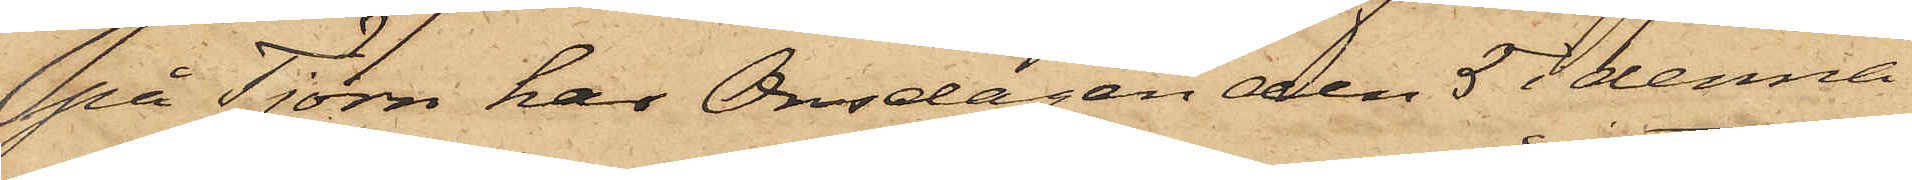på Tjörn har Onsdagen den 5 i denna
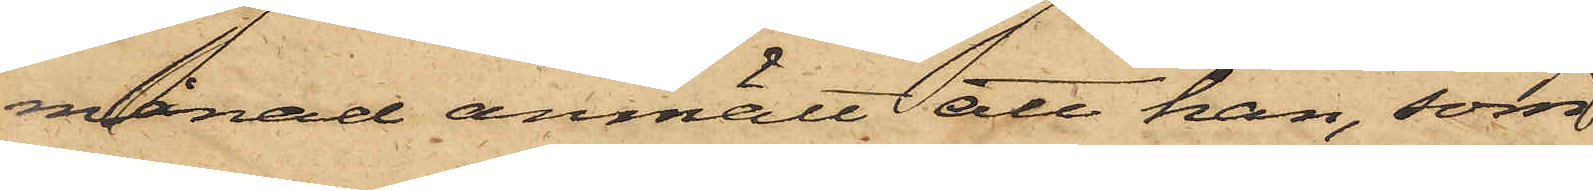månad anmält att han, som
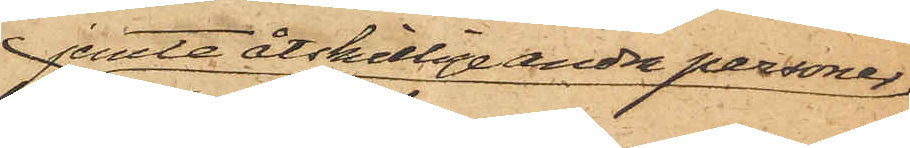jemte åtskillige andra personer
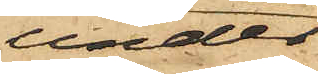under
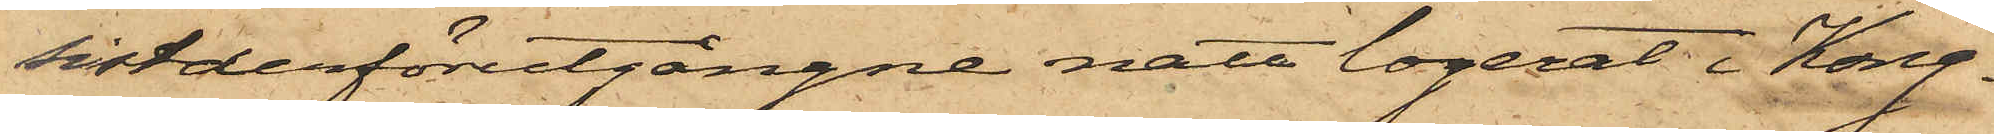sistderförutgångne natt logerat i Kong¬
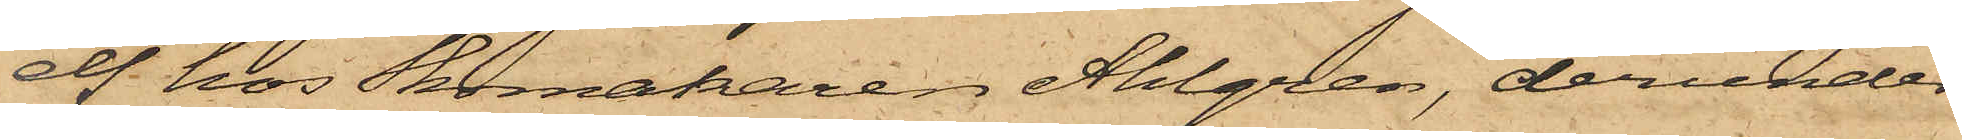elf hos Skomakaren Ahlgren, derunder
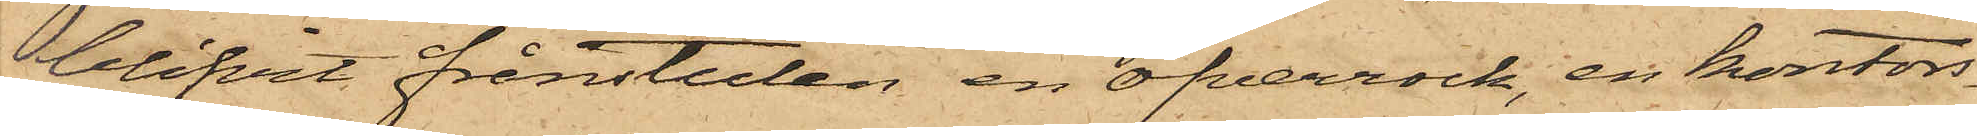blifvit frånstulen en öfverrock, en kontors¬
